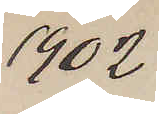1902
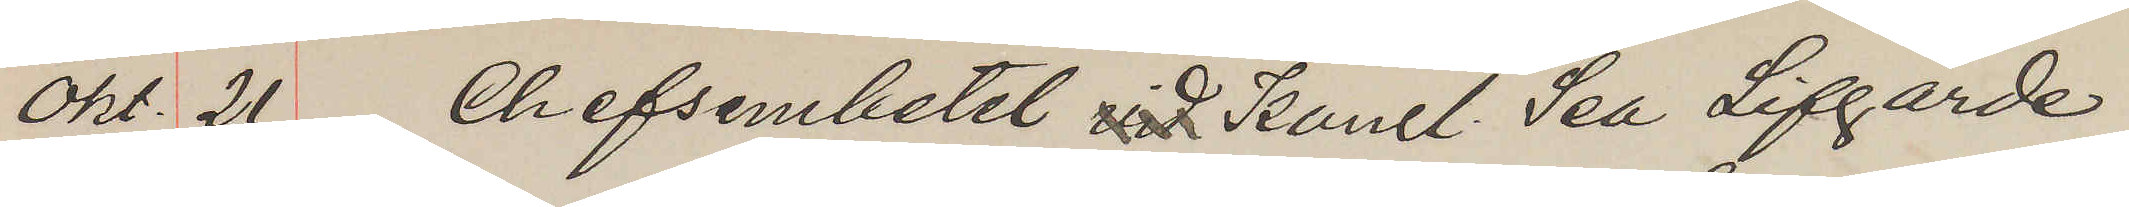okt. 21 Chefsembetet vid Kongl. Sea Lifgarde
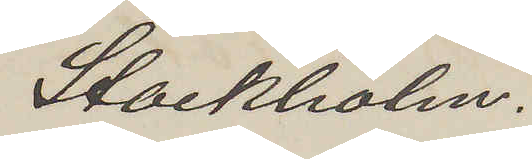Stockholm.
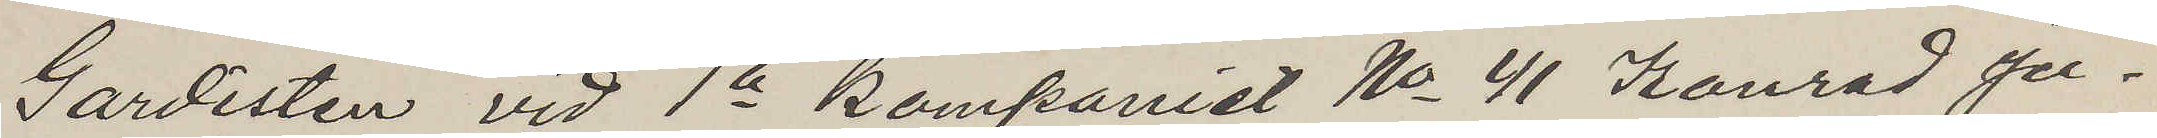Gardisten vid 1a kompaniet No 41 Konrad Ju¬
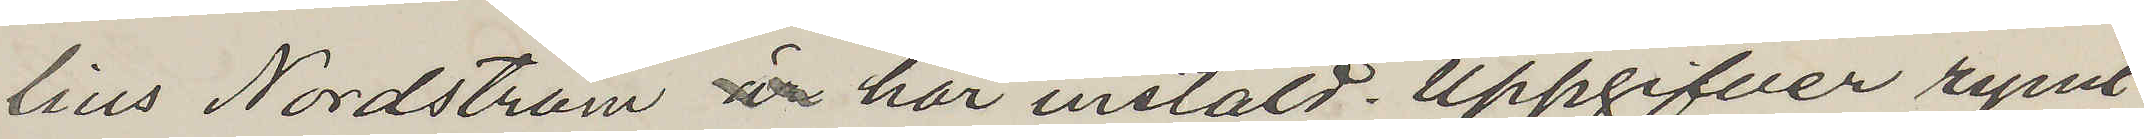lius Nordström är här instäld. Uppgifver rymt
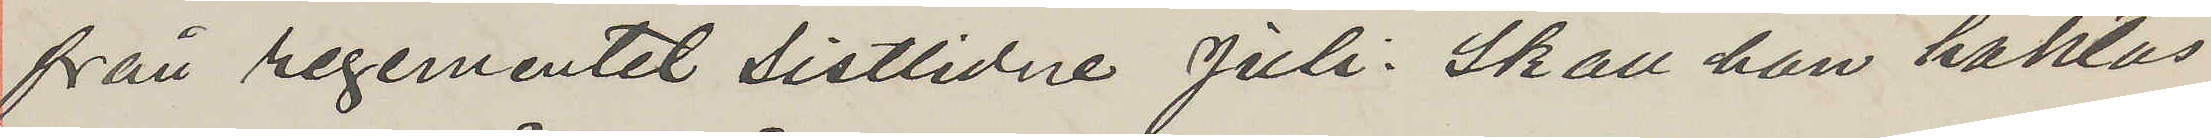från regementet sistlidne Juli. Skall han häktas
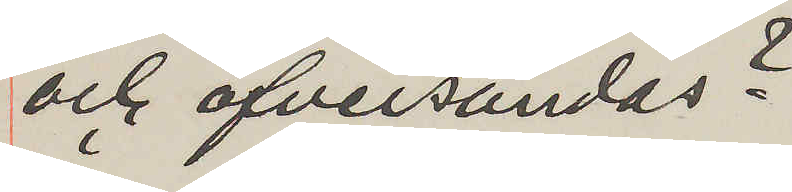och öfversändas?
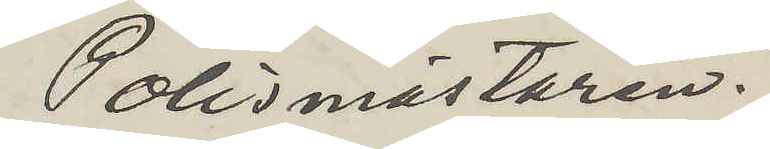Polismästaren.
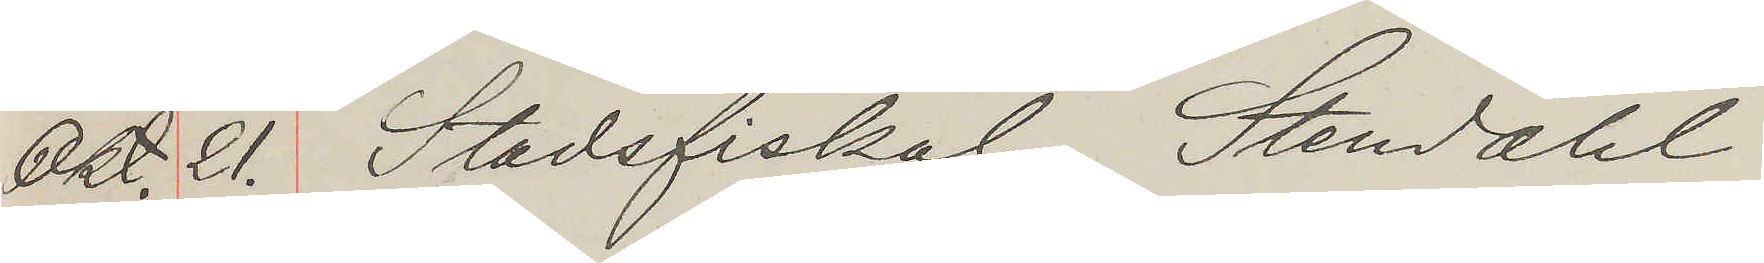Okt. 21. Stadsfiskal, Stendahl
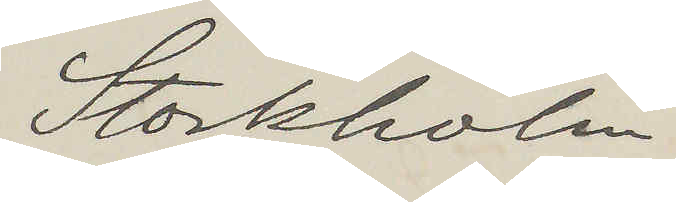Stockholm
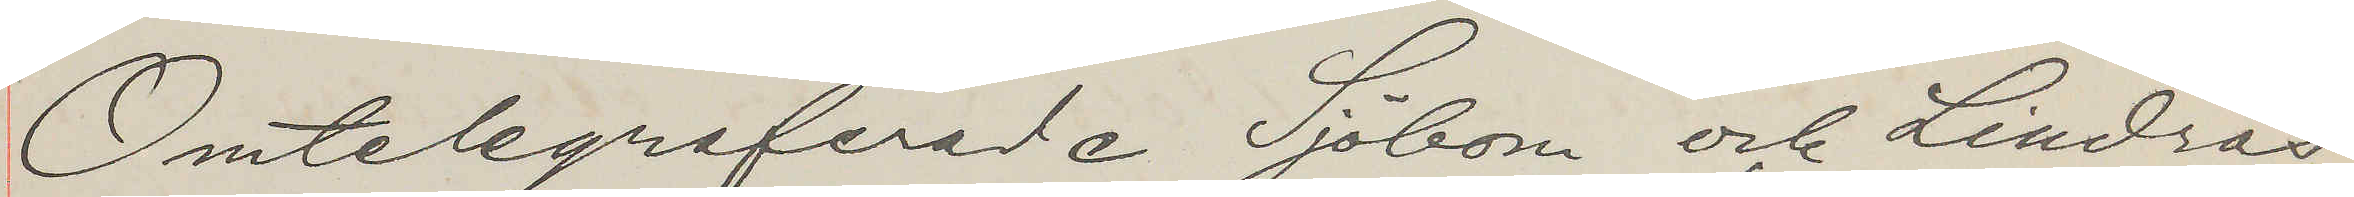Omtelegreferade Sjöbom och Lindros
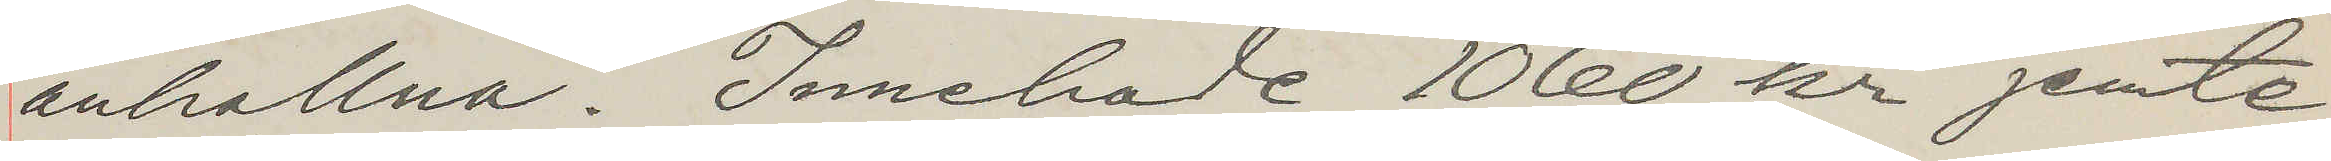anhallna. Innehade 1060 kr jemte
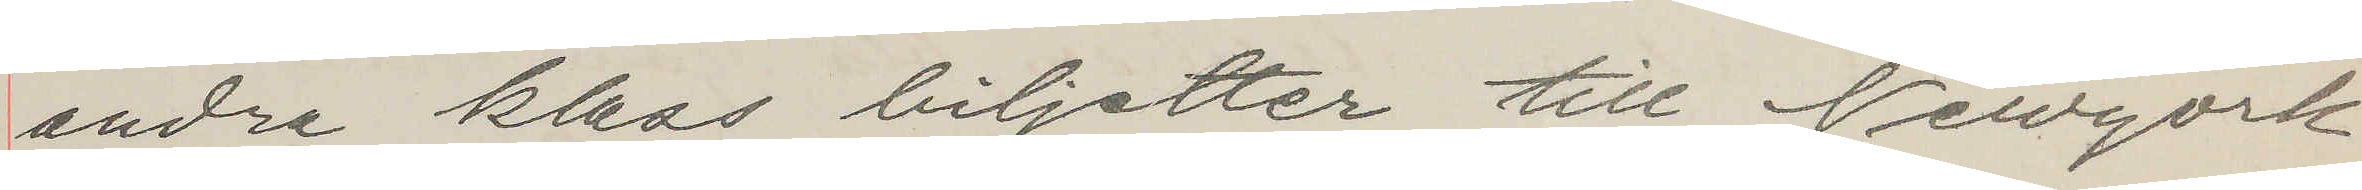andra klass biljetter till Newyork
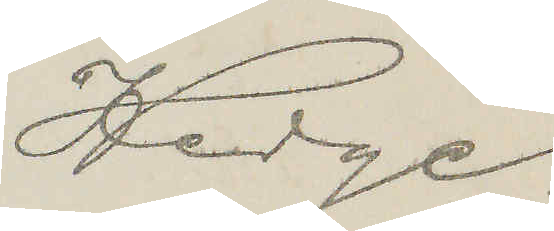Hedge.
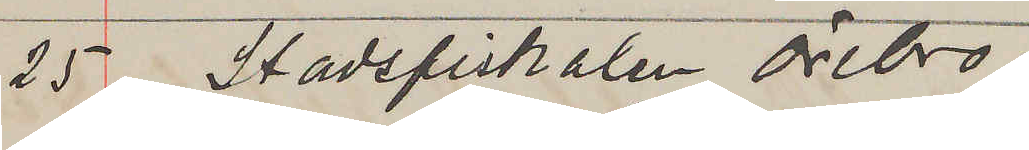25 Stadsfiskalen Örebro.
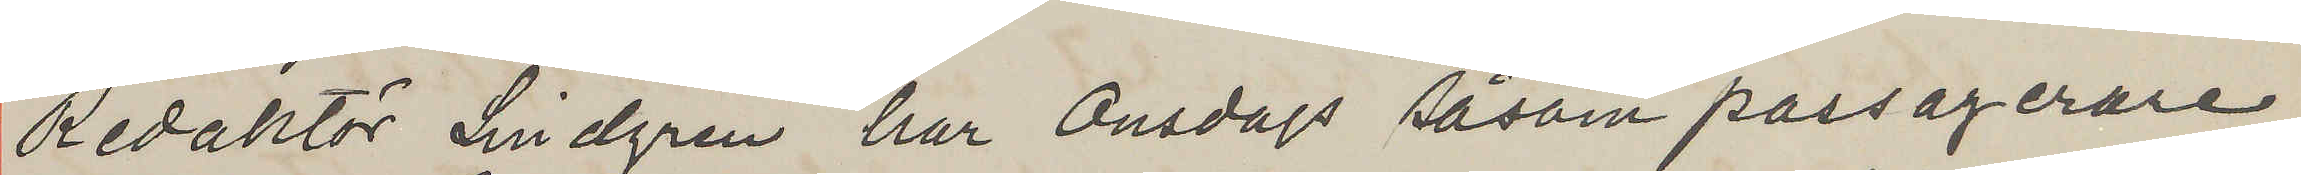Redaktör Lindgren har Onsdags såsom passagerare
